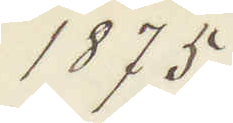1875.
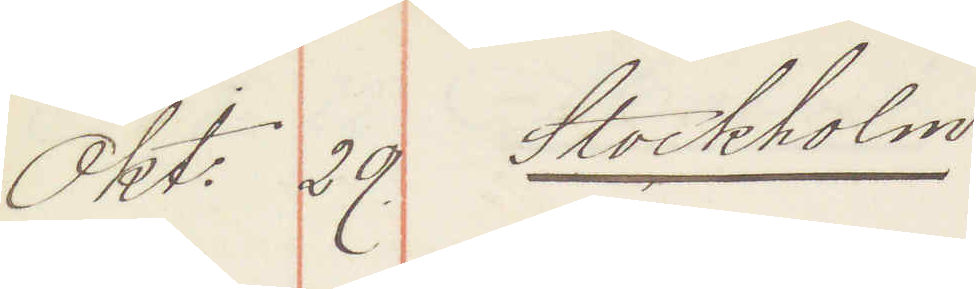Okt: 29. Stockholm.
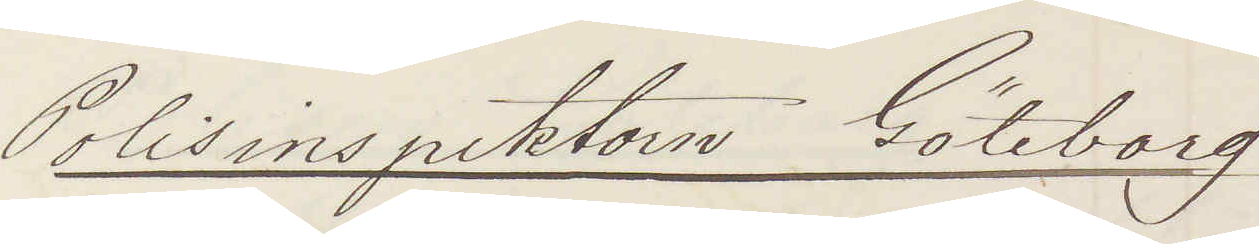Polisinspektorn Göteborg
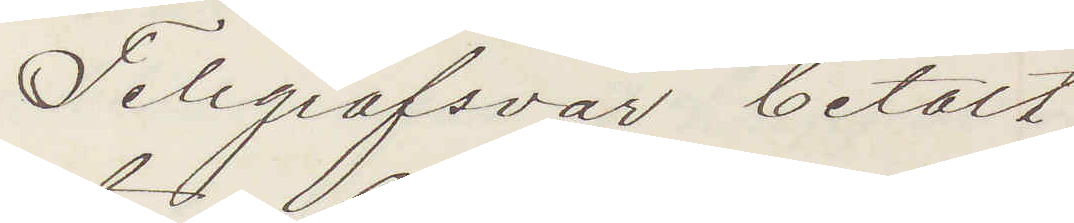Telegrafsvar betalt
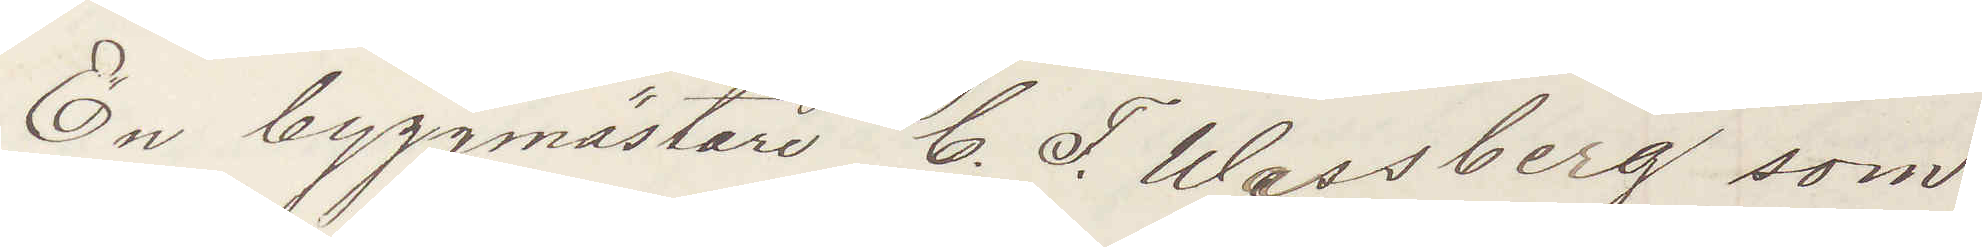En byggmästare C. F. Wassberg som
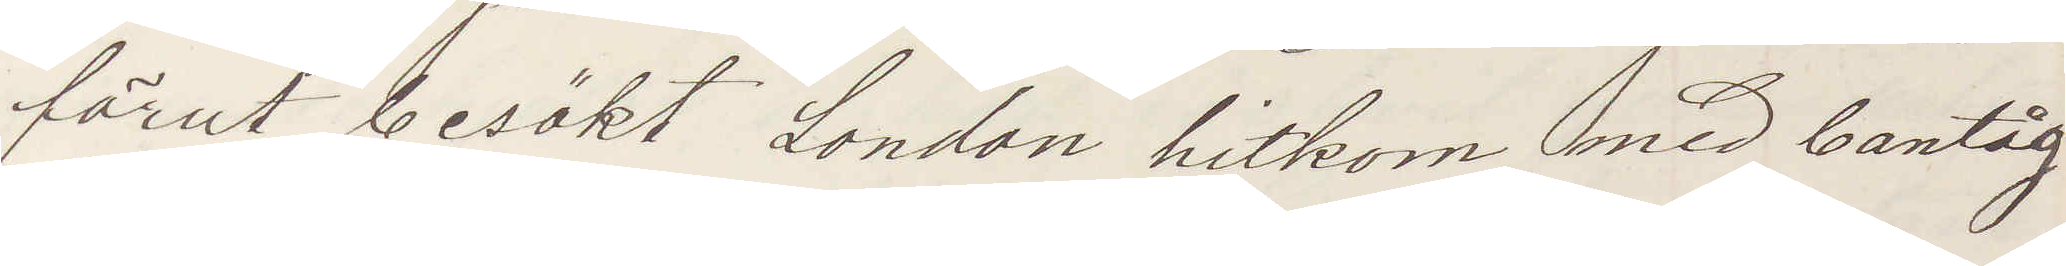förut besökt London hitkom med bantåg
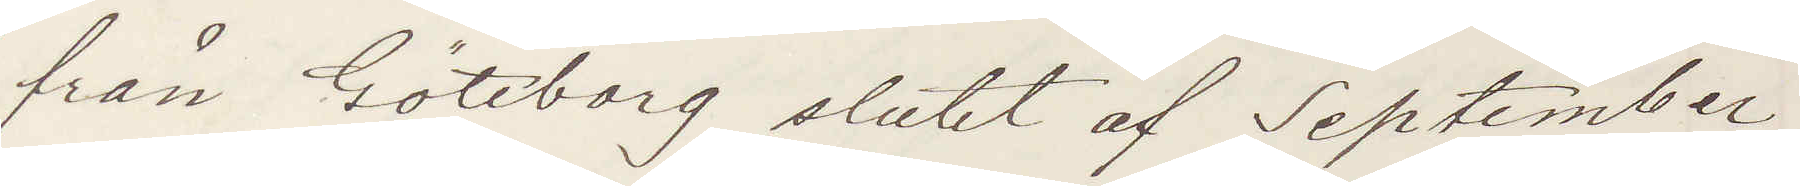från Göteborg slutet af September;
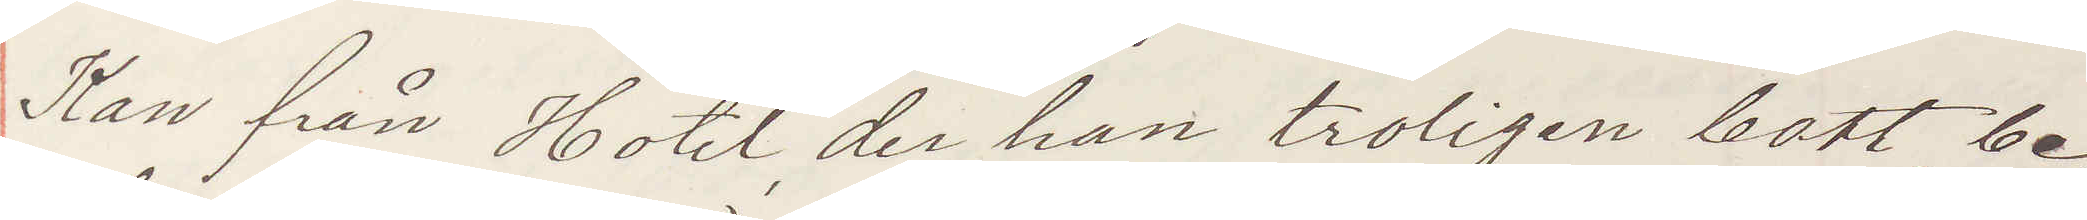Kan från Hotel der han troligen bott, be¬
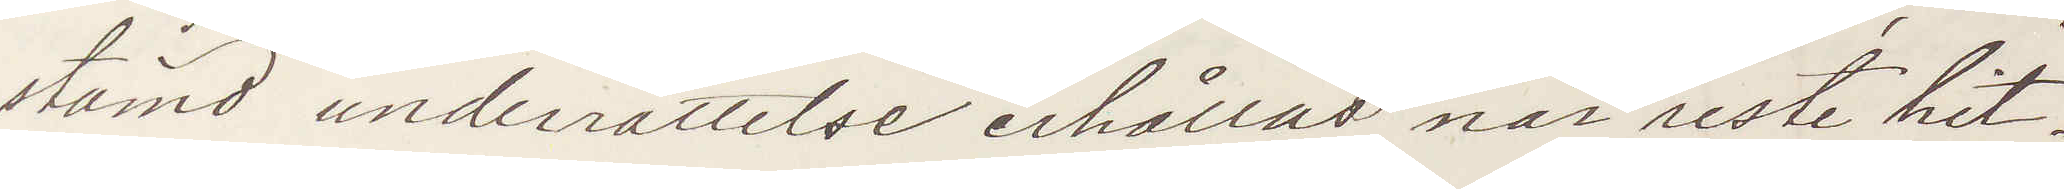stämd underrättelse erhållas när reste hit.
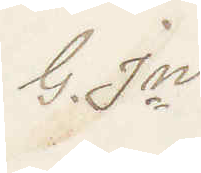G. Jn
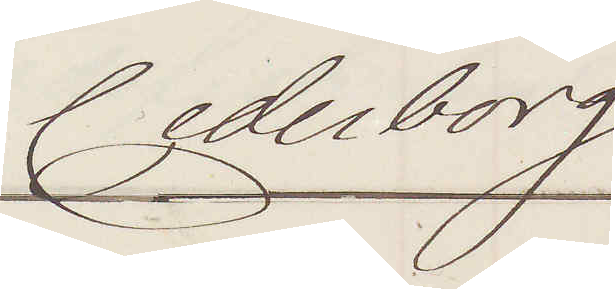Cederborg
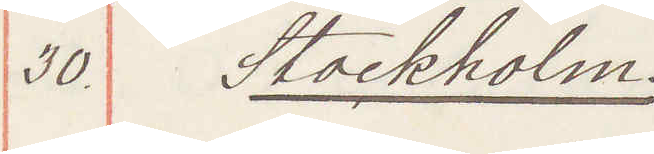30. Stockholm.
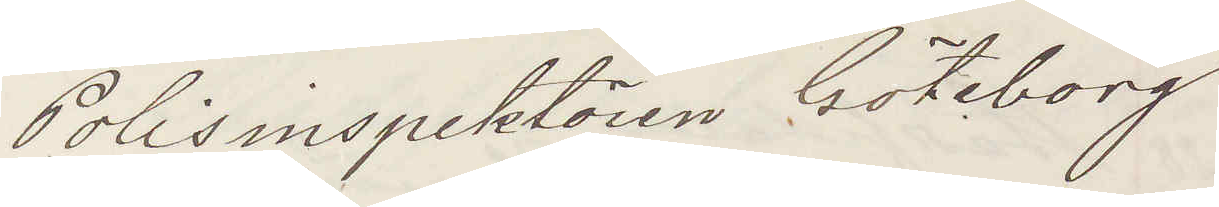Polisinspektorn Göteborg
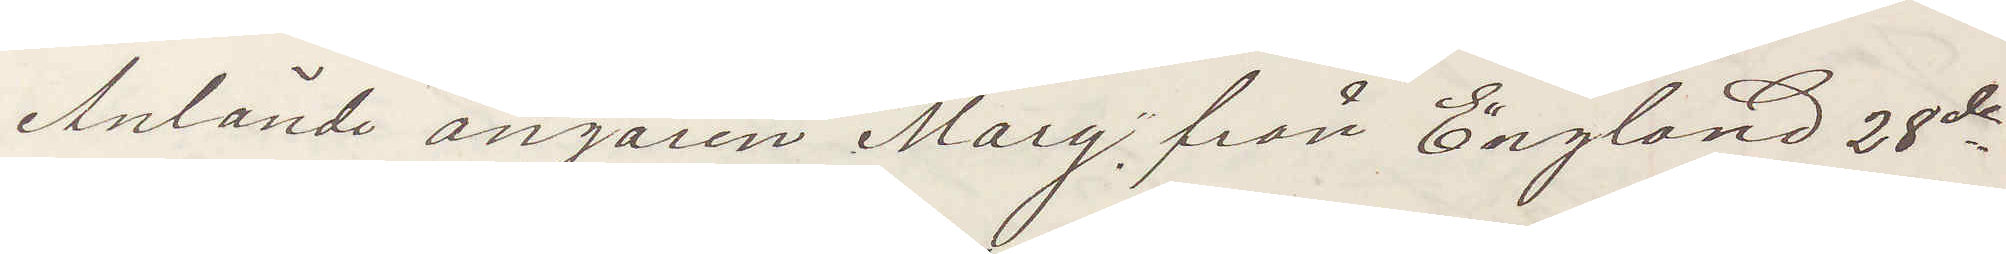Anlände ångaren "Mary" från England 28de
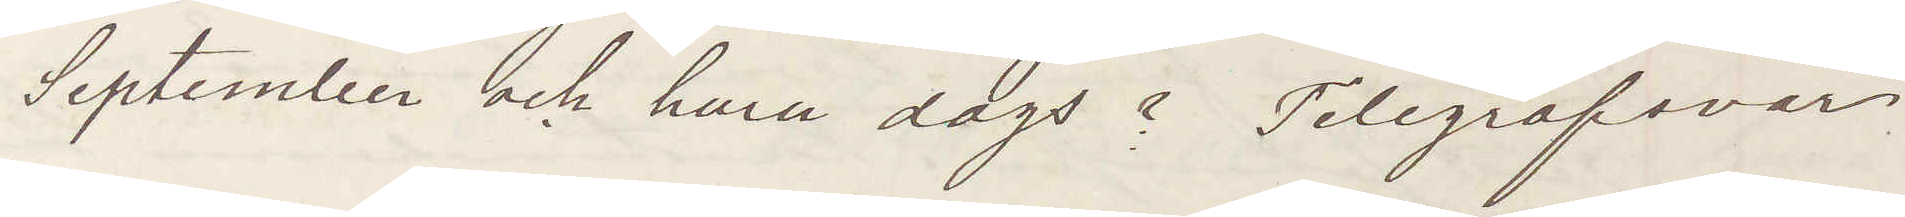September och huru dags? Telegrafsvar
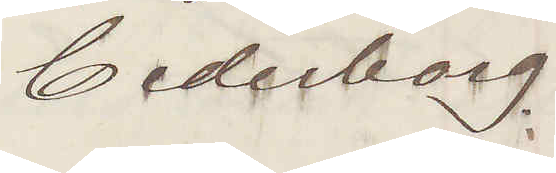Cederborg
